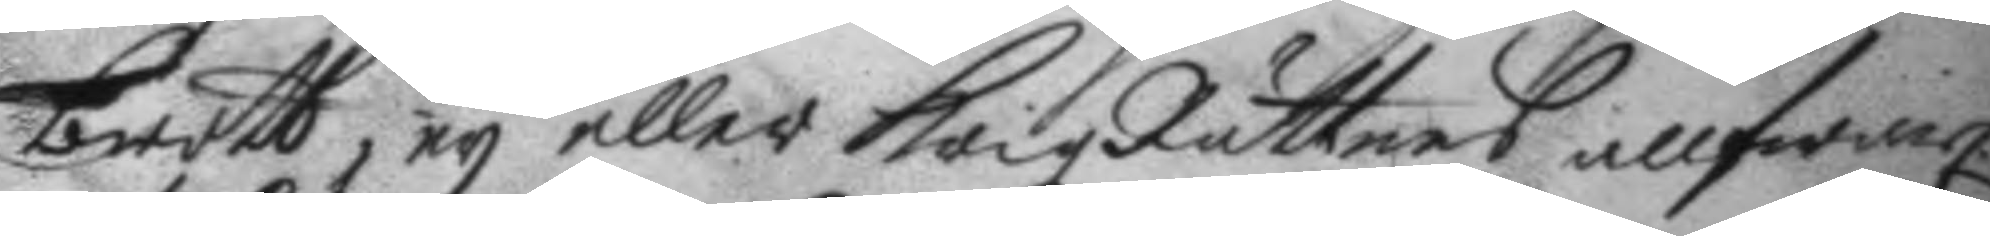brott, ey eller KrigzRättens allfwarl.
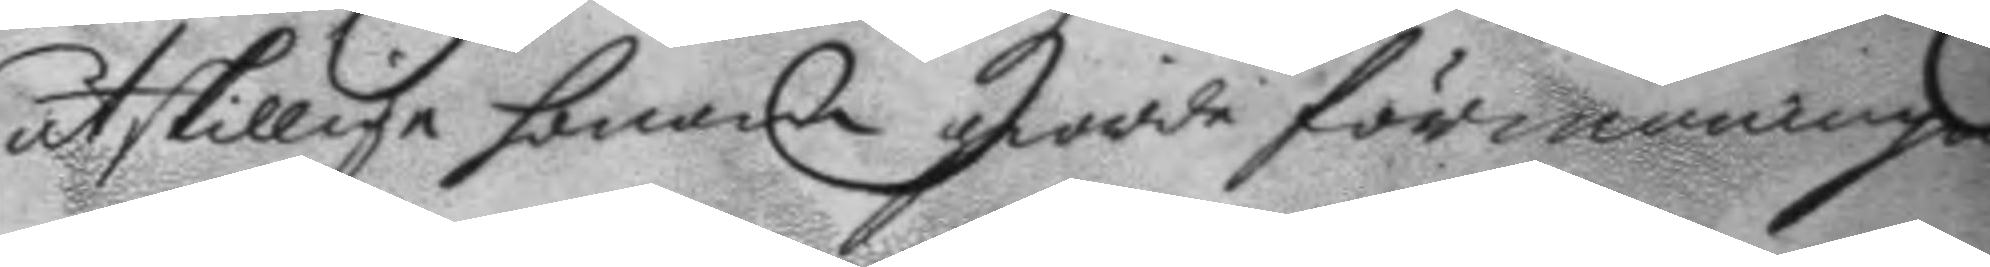åtskillige honom giorde förmaningar
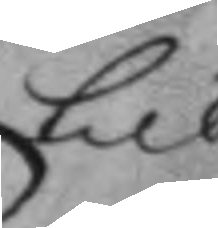till
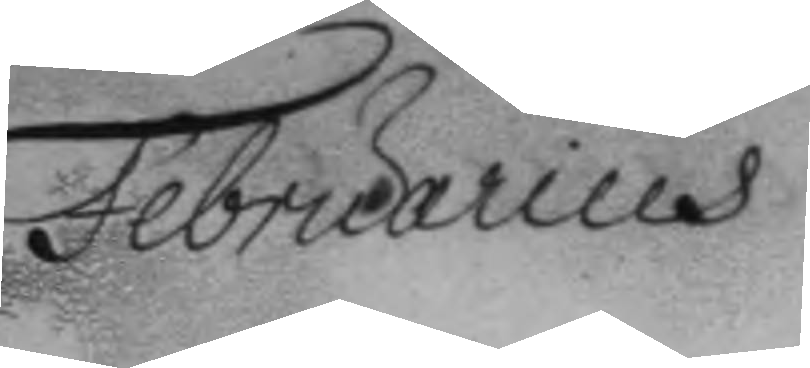Februarius
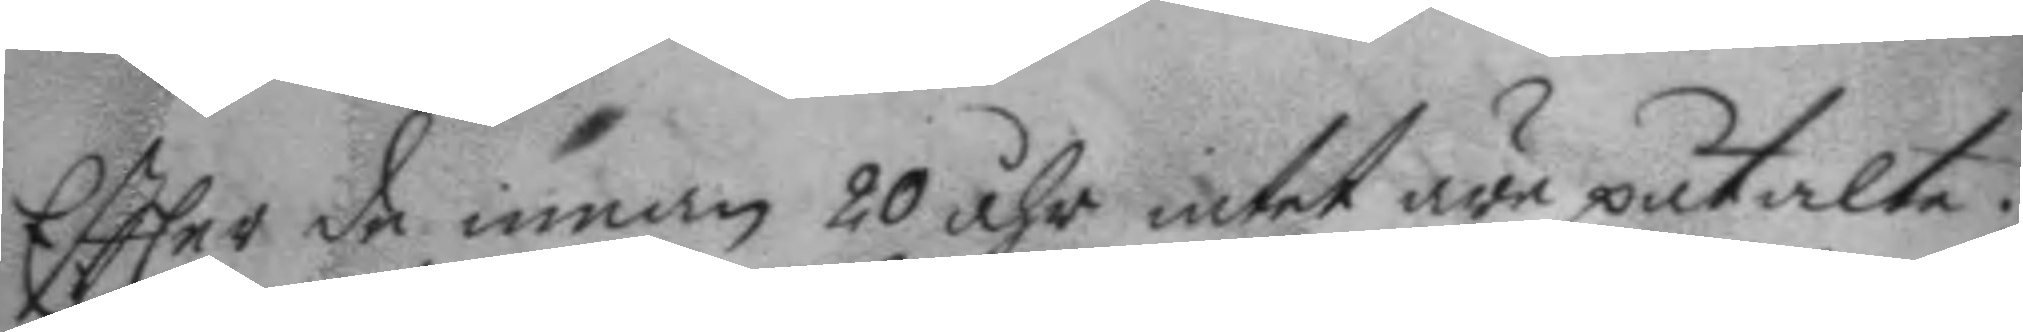Eftter de innan 20 åhr intet äre putalte;
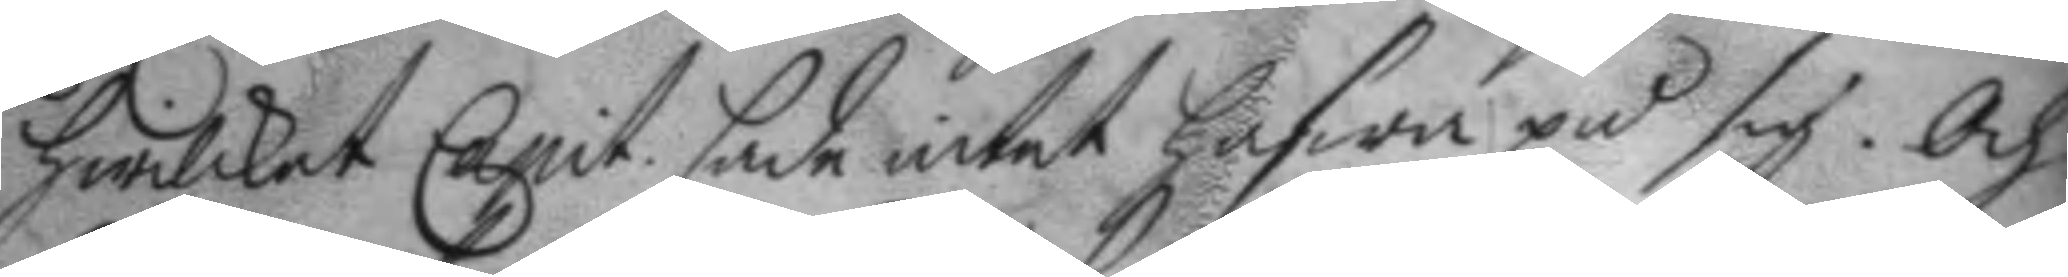hwilket Capit. sade intet hafwa på sig. Och
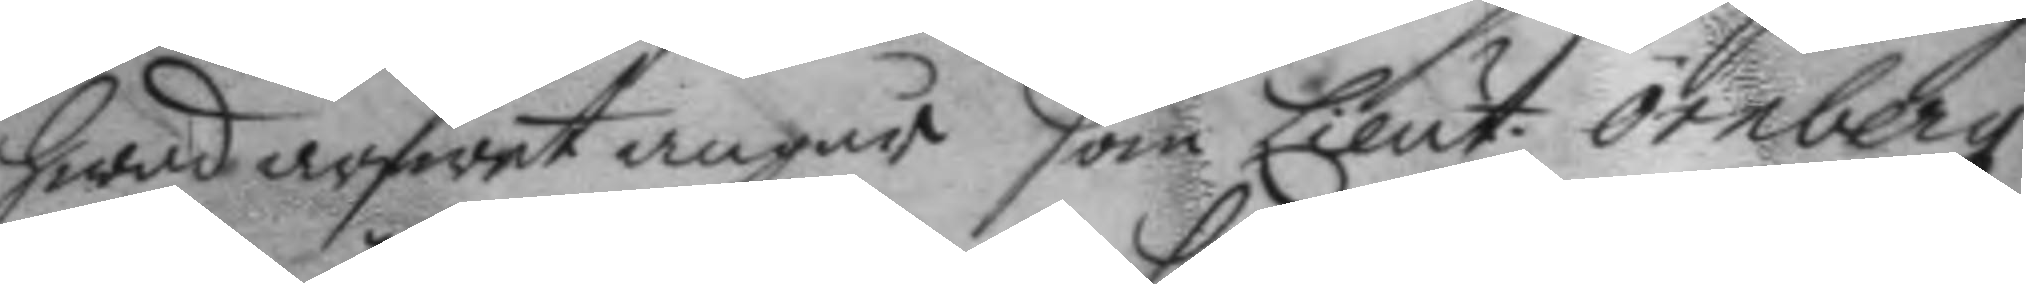hwad arfwet angår som Lieut. örnbergz
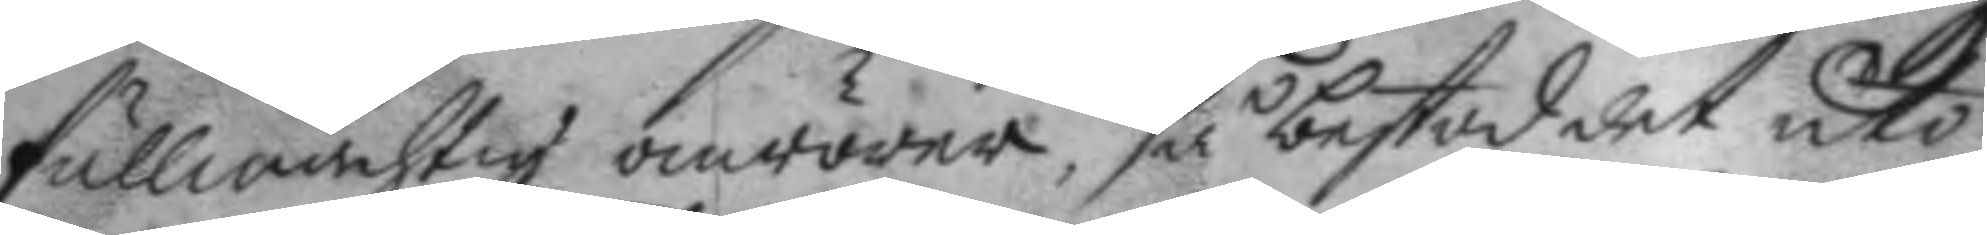fullmächtig omrörer, så bestod det uti
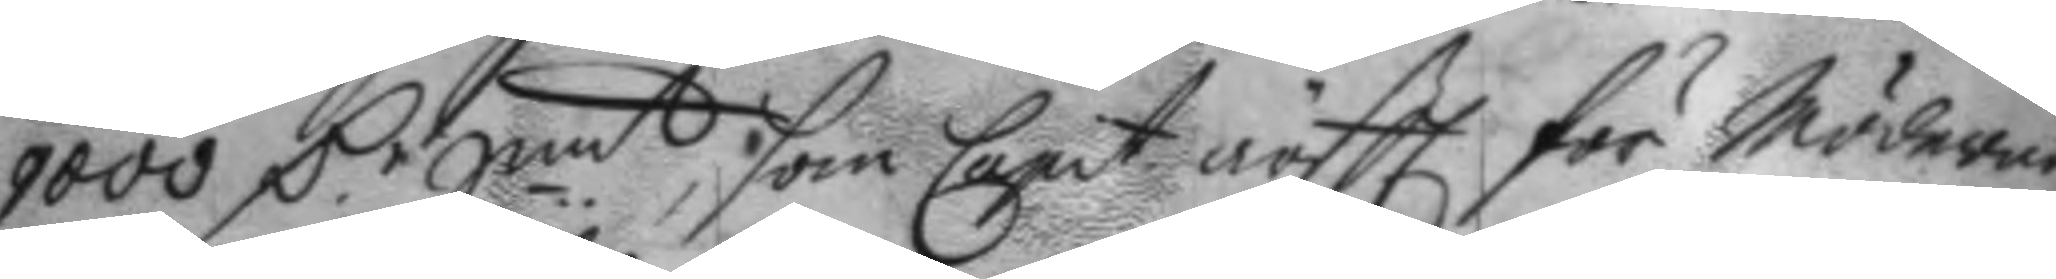9000 C.r Smt, som Capit. nästl. för Möderne
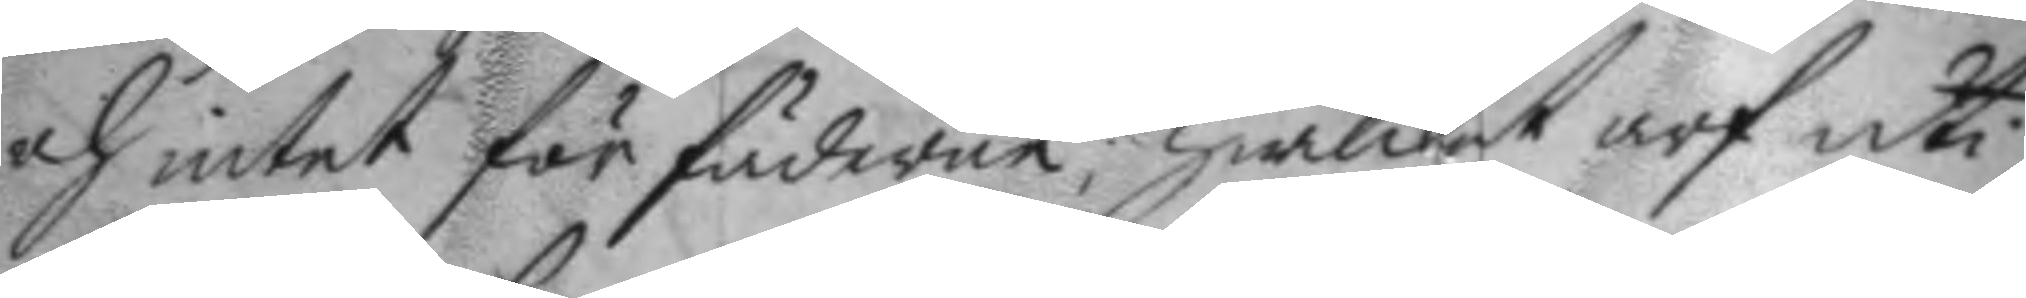och intet för fäderne; hwilket arf uti
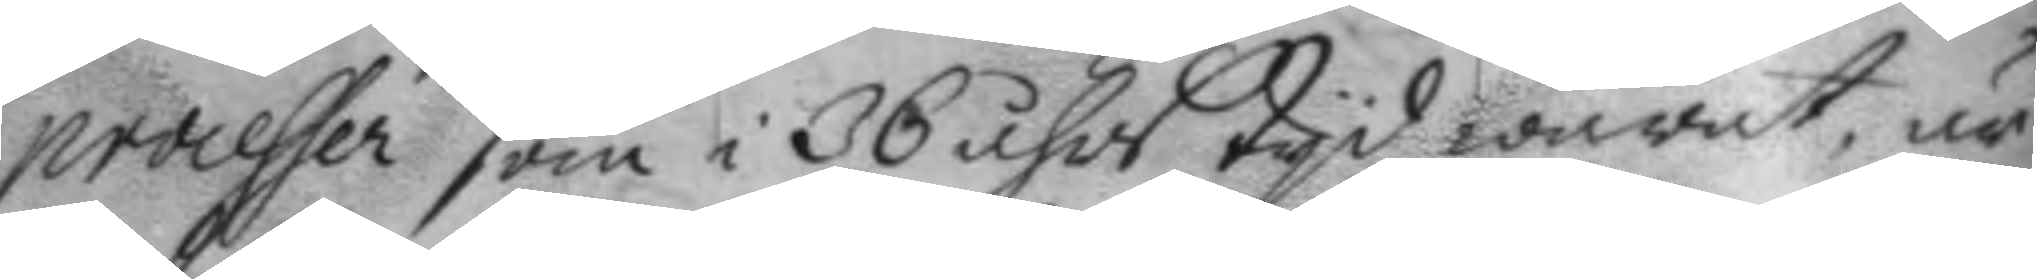processer som i 36 åhrs tyd warat, är
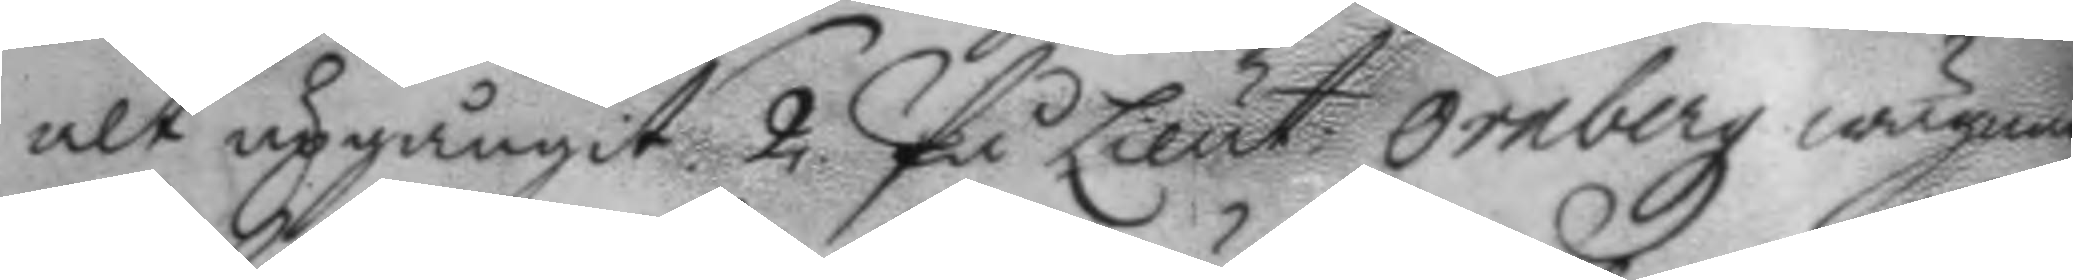alt upgångit 2. På Lieut. Örnbergz wägnar
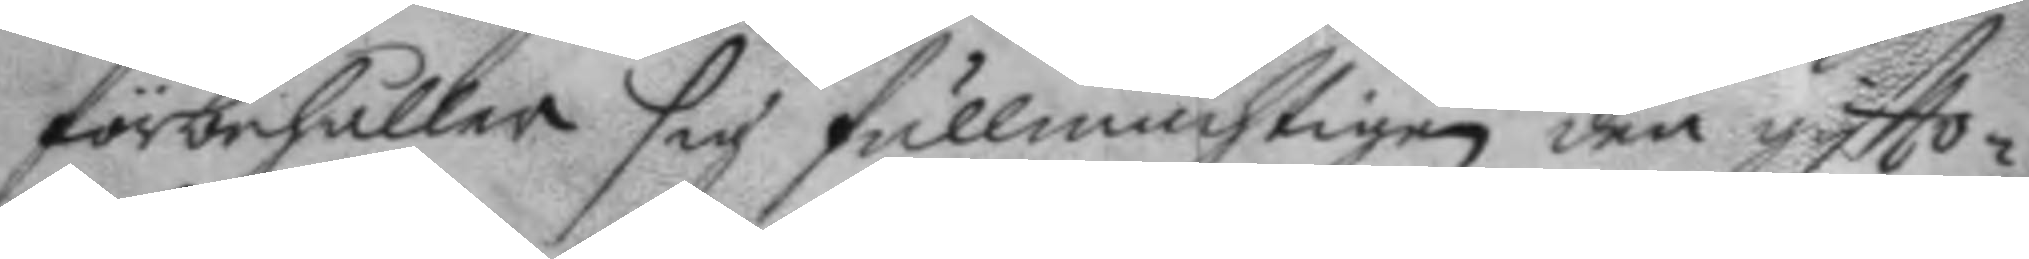förbehåller sig fullmächtigen den giftto¬
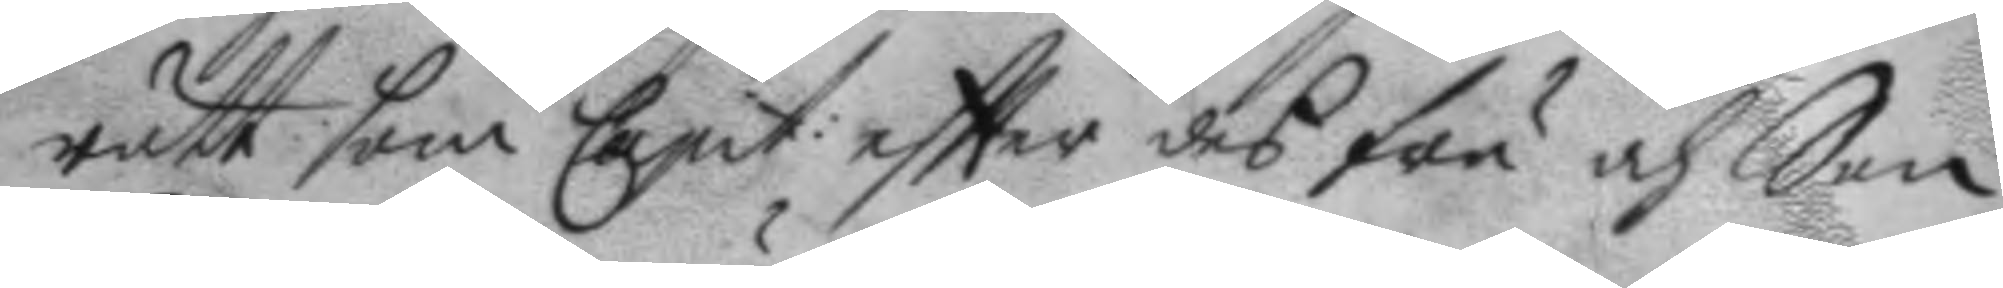rätt som Capit: eftter des fru och Son
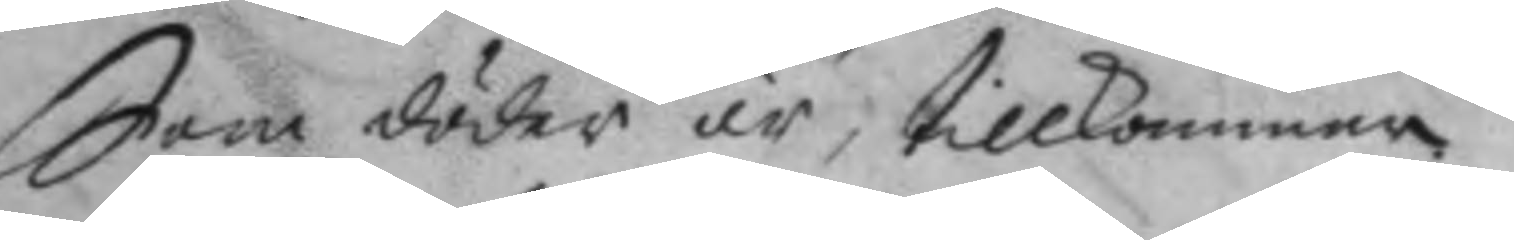Son döder är, tillkommen.
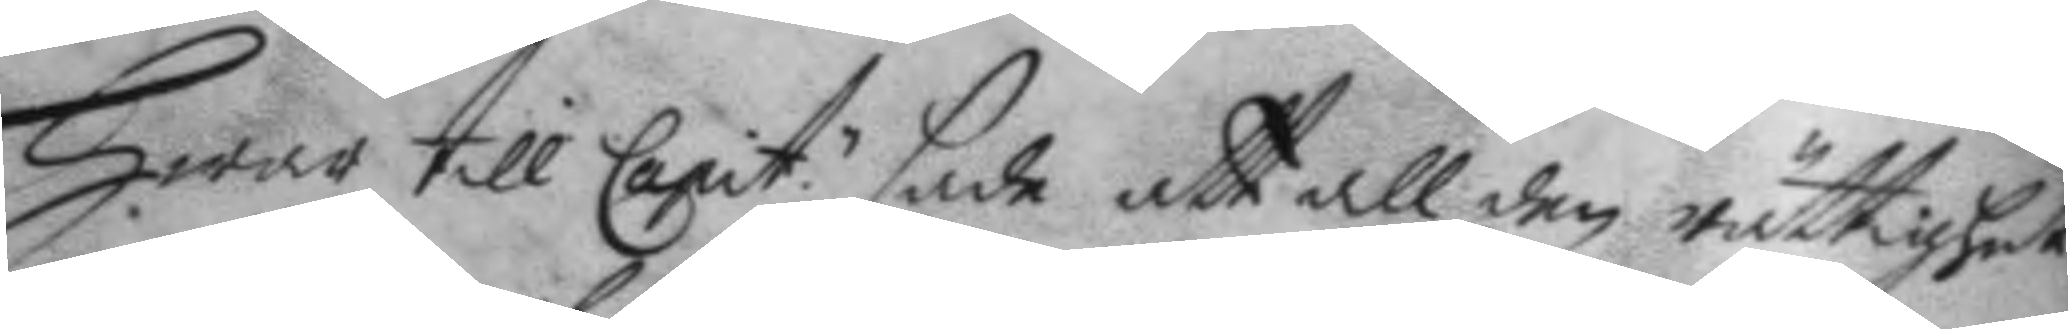Hwar till Capit. sade att all den rättighet
